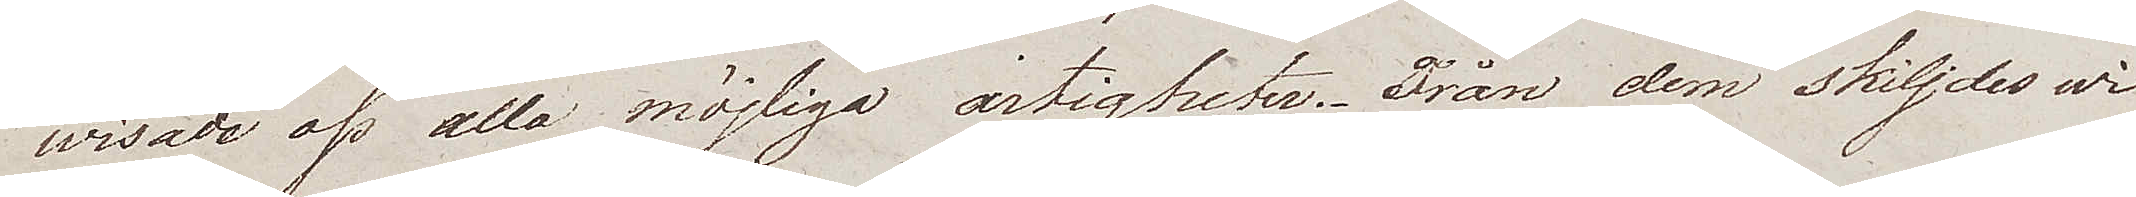wisade oss alla möjliga artigheter. Från dem skiljdes wi
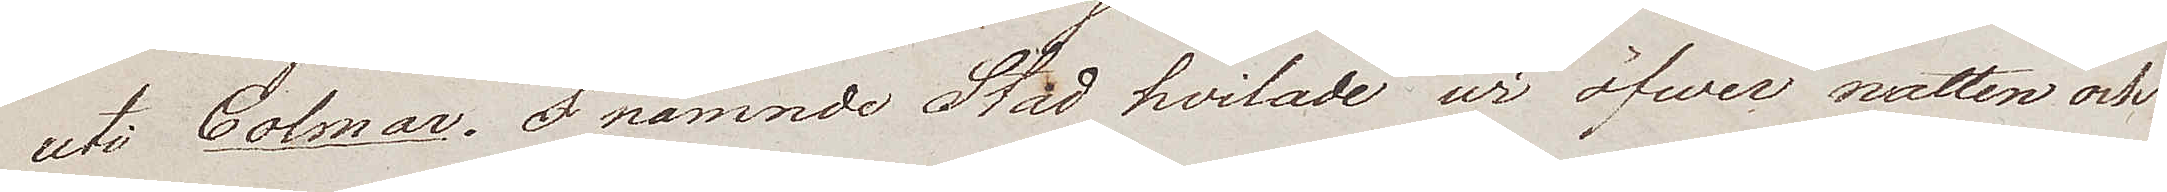uti Colmar. I nämnde Stad hvilade wi öfwer natten och
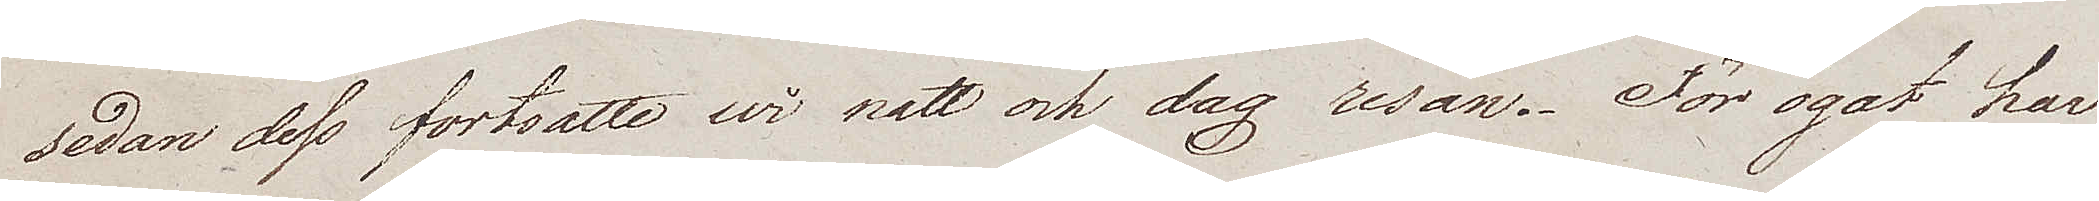sedan dess fortsatte wi natt och dag resan. För ögat har
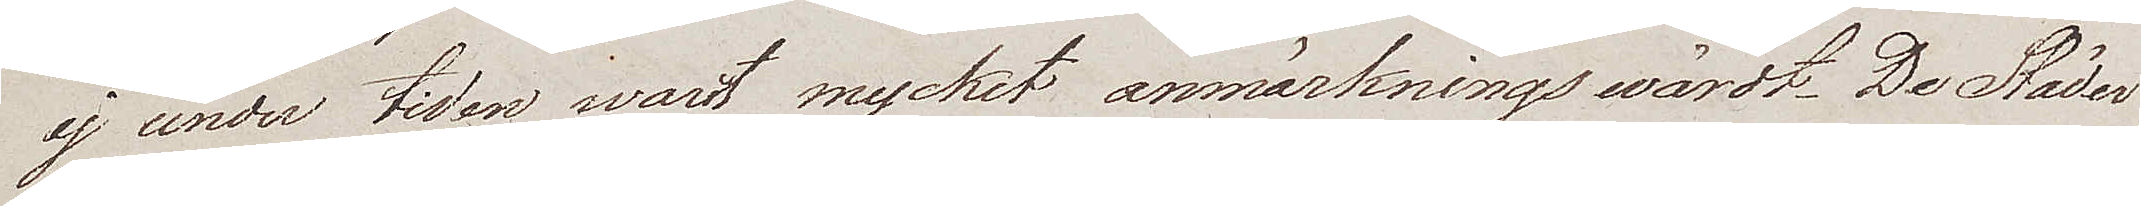ej under tiden warit mycket anmärkningswärdt. De Städer
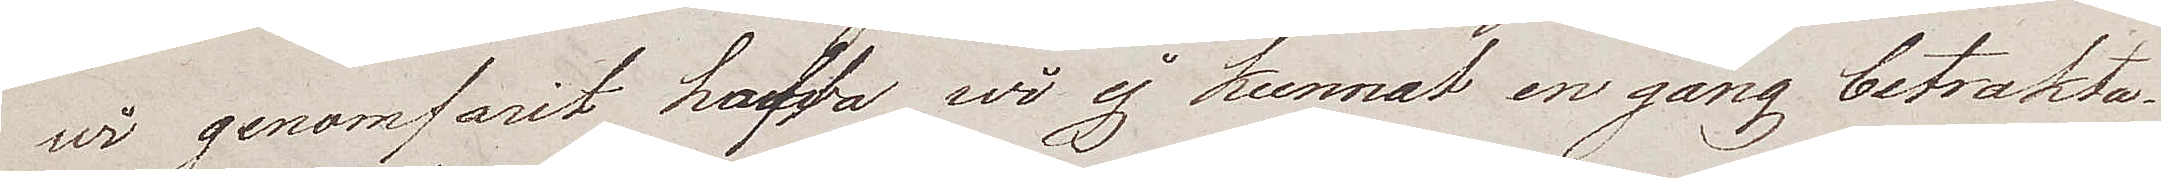wi genomfarit hafva wi ej kunnat en gång betrakta.
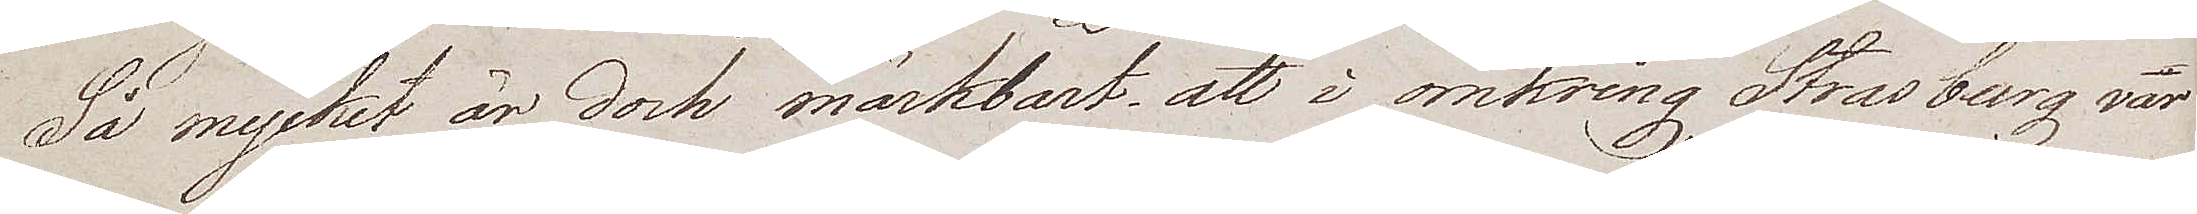Så mycket är dock märkbart att i omkring Strasburg var
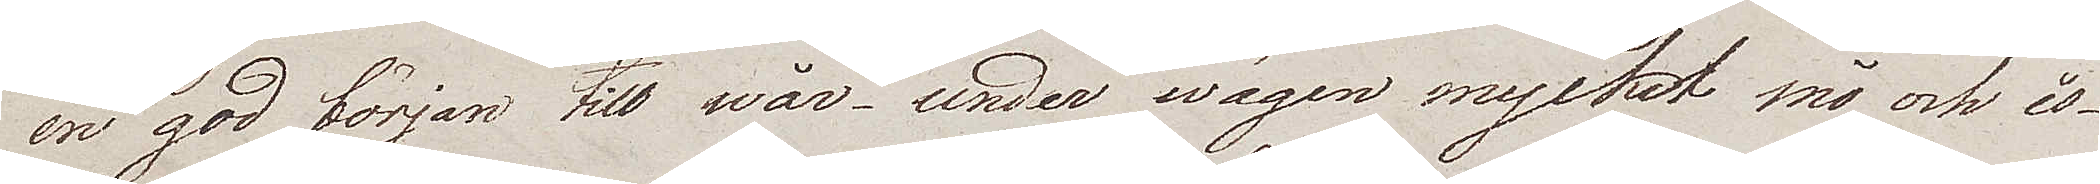en god början till wår – under wägen mycket snö och is –
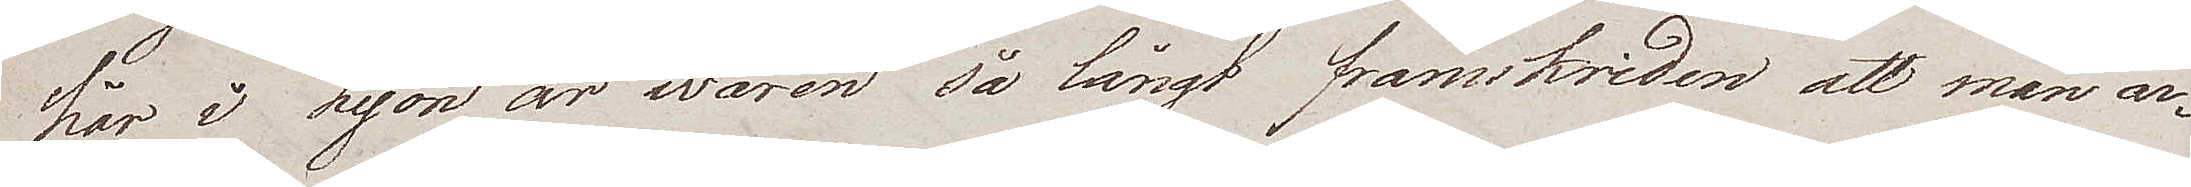här i Lyon är wåren så långt framskriden att man ar¬
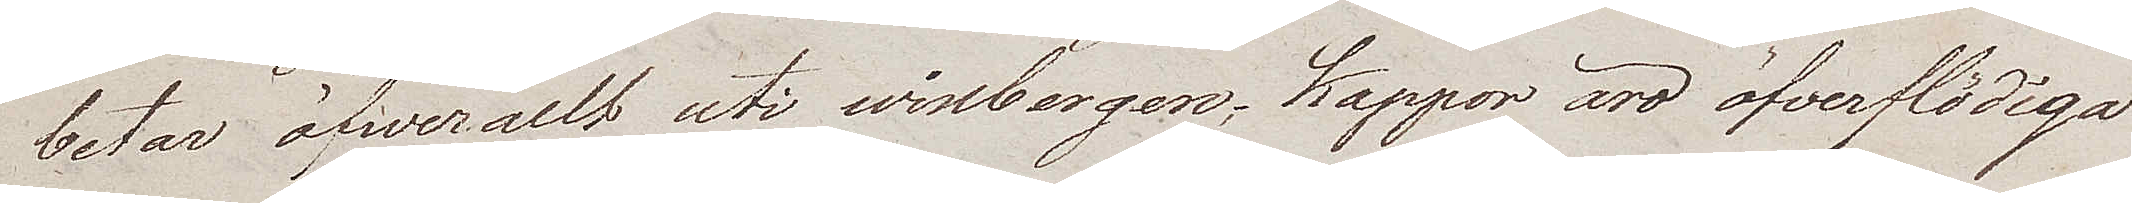betar öfwerallt uti winbergen; Kappor äro öfverflödiga
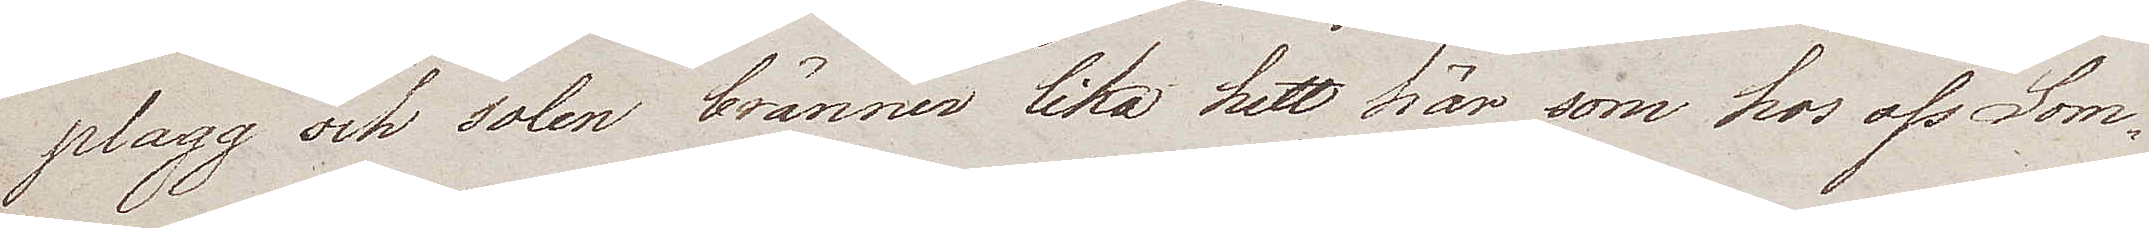plagg och solen bränner lika hett här som hos oss Som¬
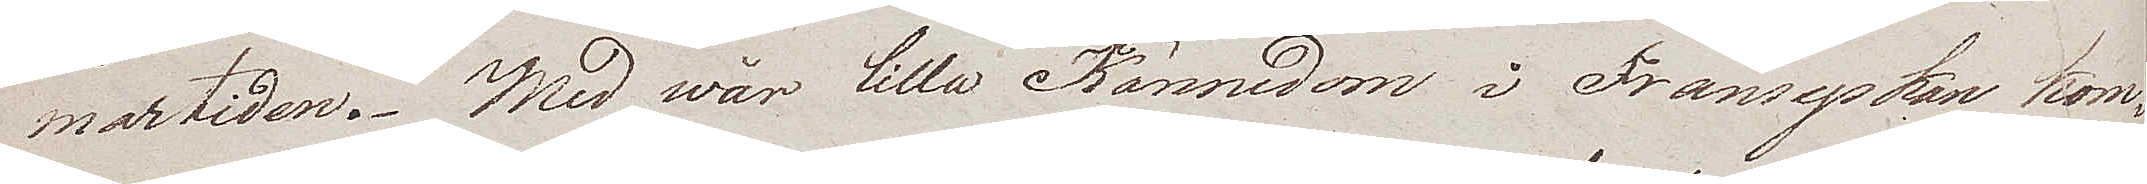martiden. Med wår lilla Kännedom i Fransyskan kom¬
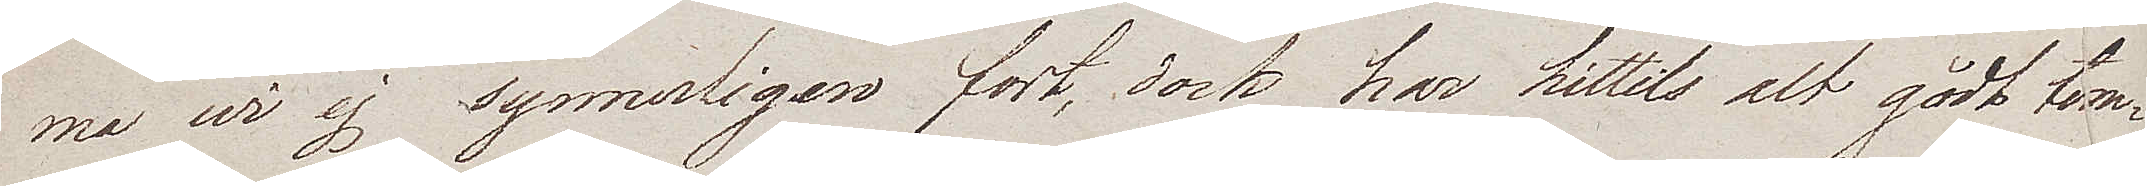ma wi ej synnerligen fort, dock har hittils alt gådt tem¬
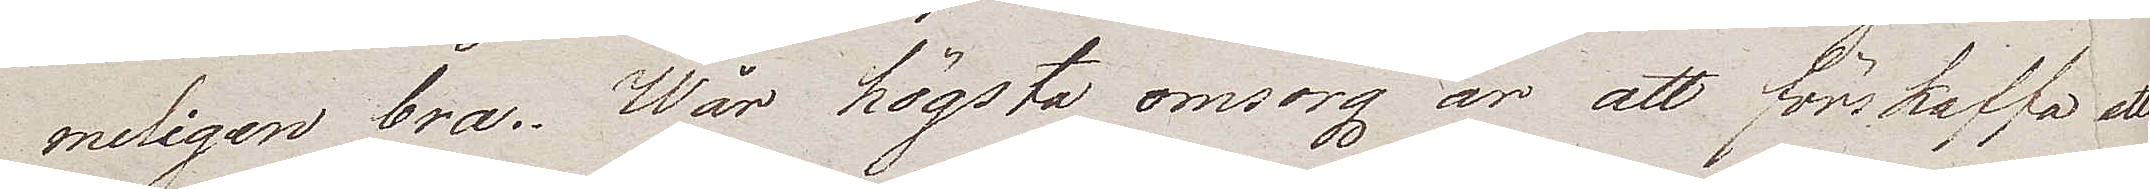meligen bra. Wår högsta omsorg är att förskaffa ett
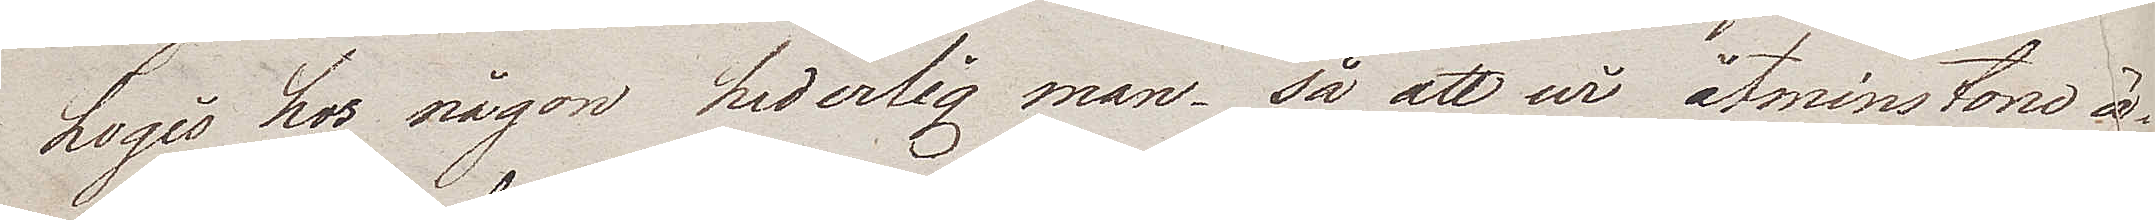Logis hos någon hederlig man – så att wi åtminstone ä¬
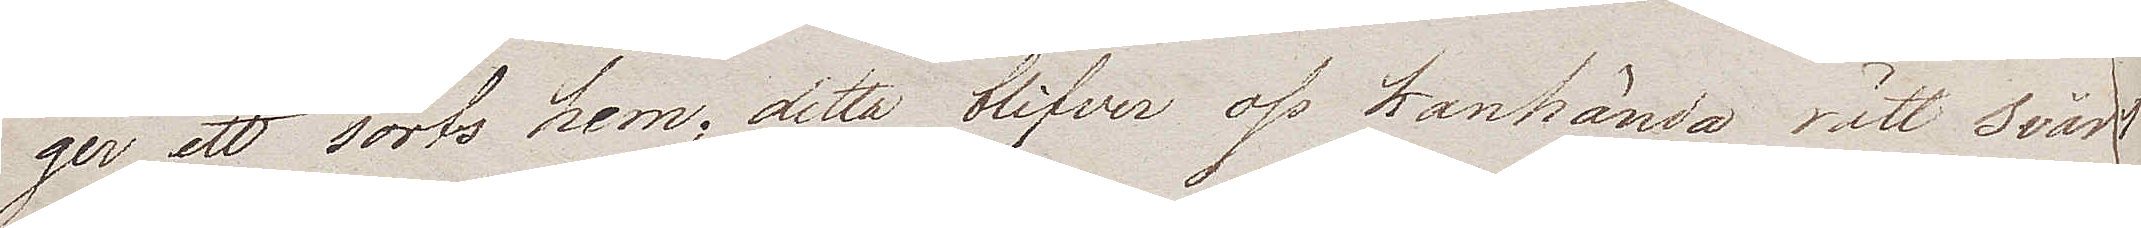ger ett sorts hem; detta blifver oss kanhända rätt svårt
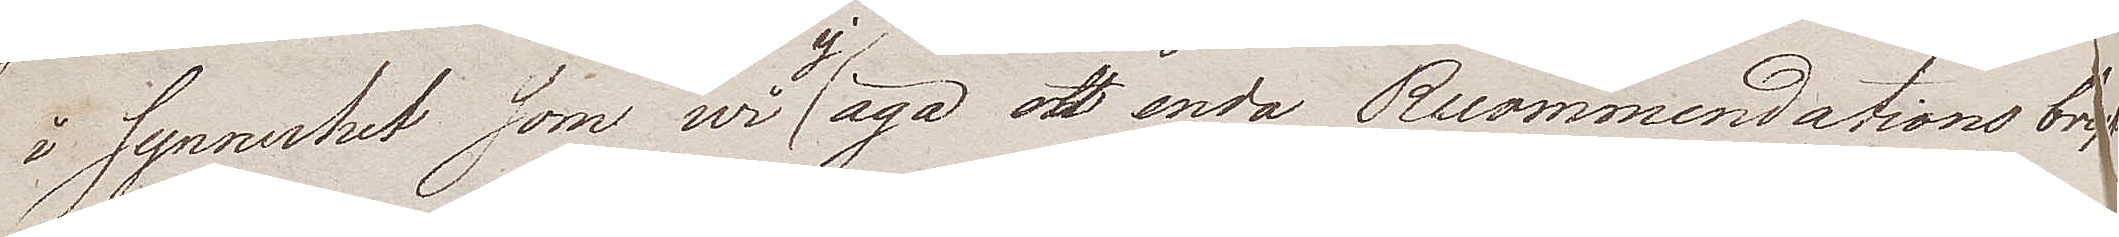i synnerhet, som wi ej äga ett enda Recommendations bref
